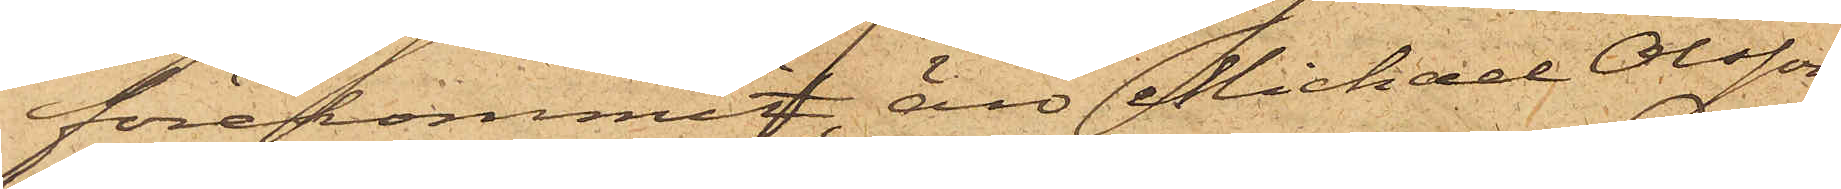förekommit, äro Michael Olsson,
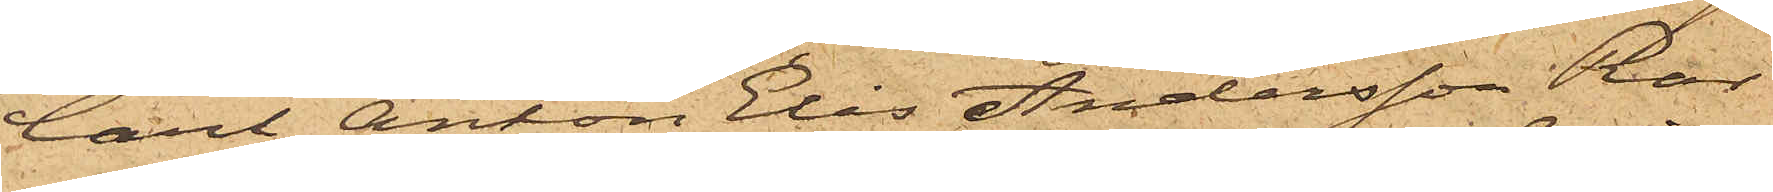Carl Anton Elis Andersson Ros
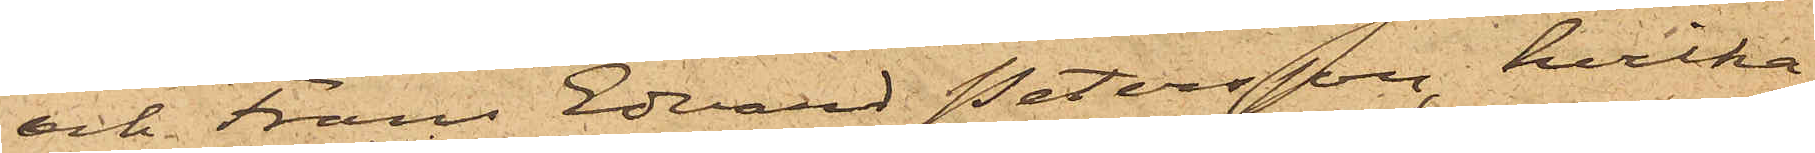och Frans Edvard Petersson, hvilka
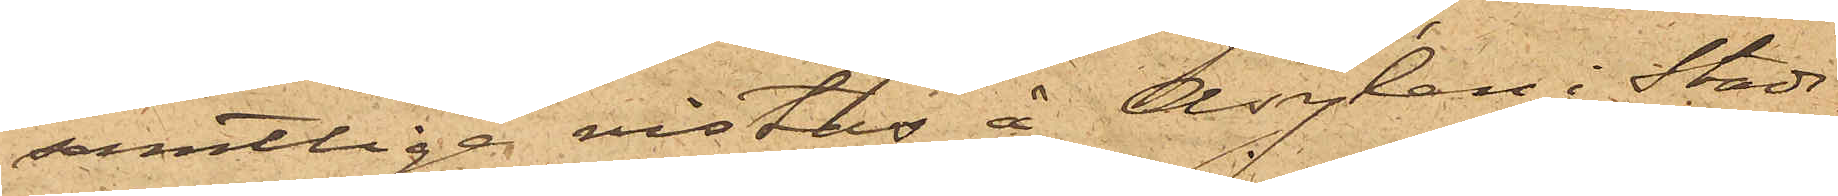samtliga vistas å Asylen i Stads¬
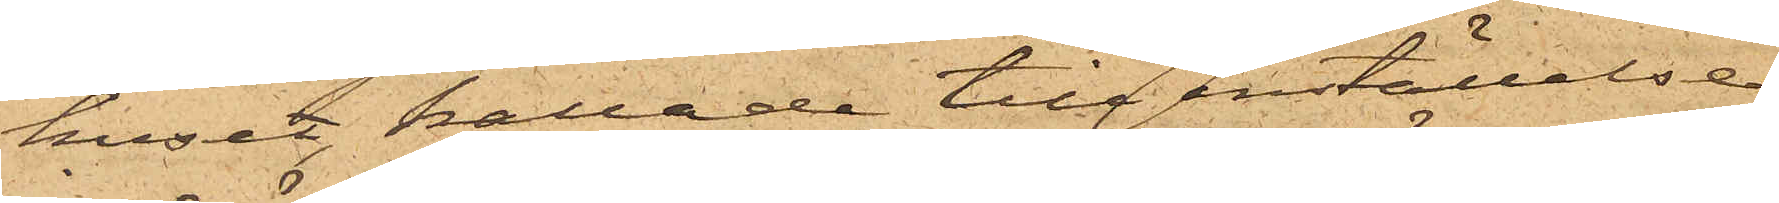huset, kallade till inställelse
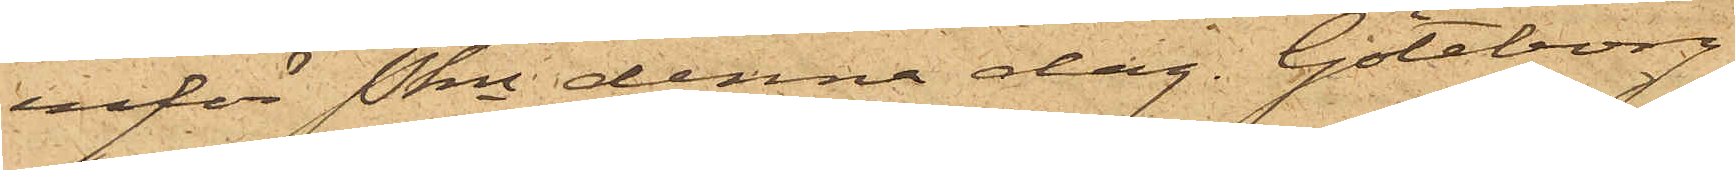inför Pkn denna dag. Göteborg
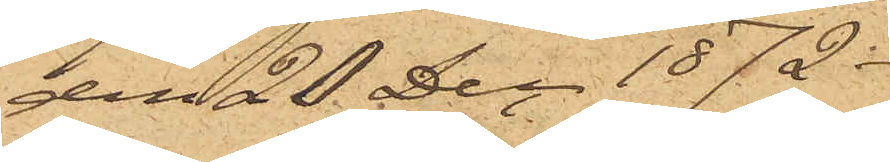den 20 Dec 1872.
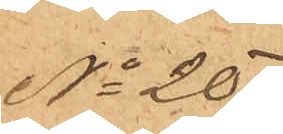No 207
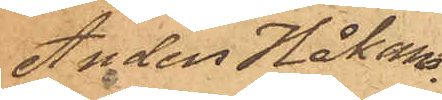Anders Håkans¬
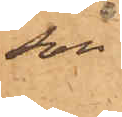son.
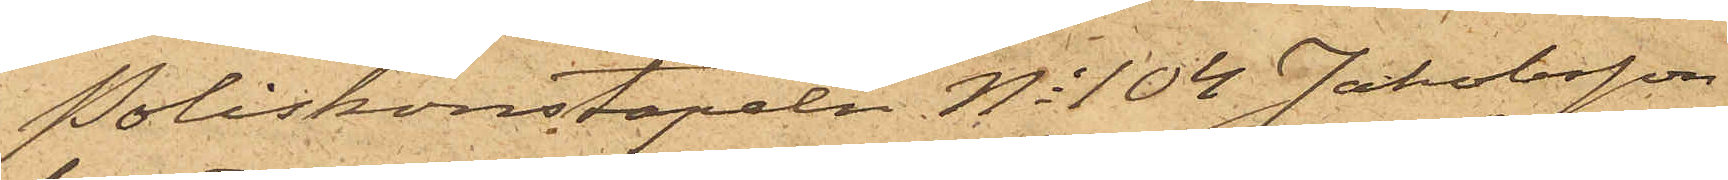Poliskonstapeln No 104 Jakobsson
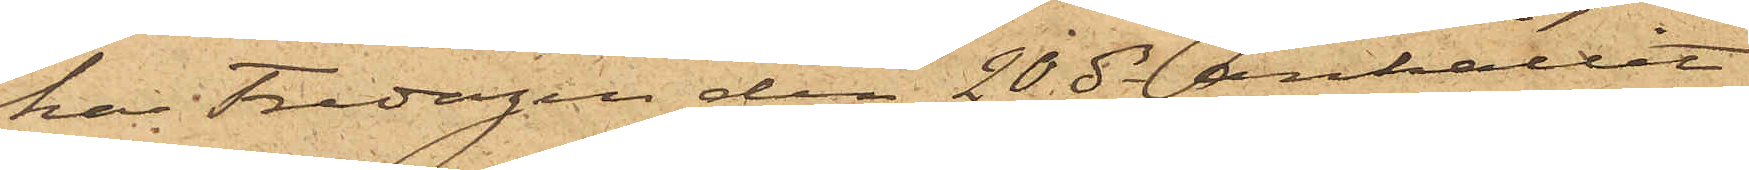han Fredagen den 20 ds anhållit
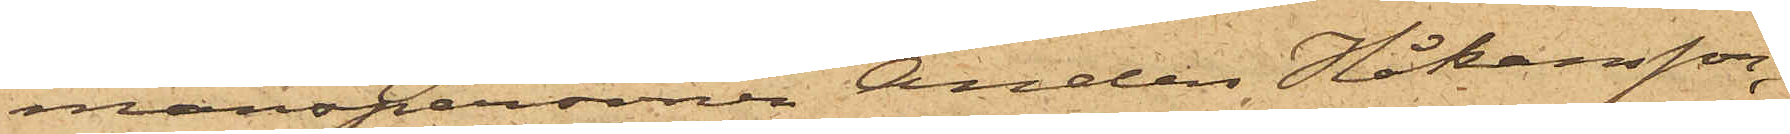manspersonen Anders Håkansson,
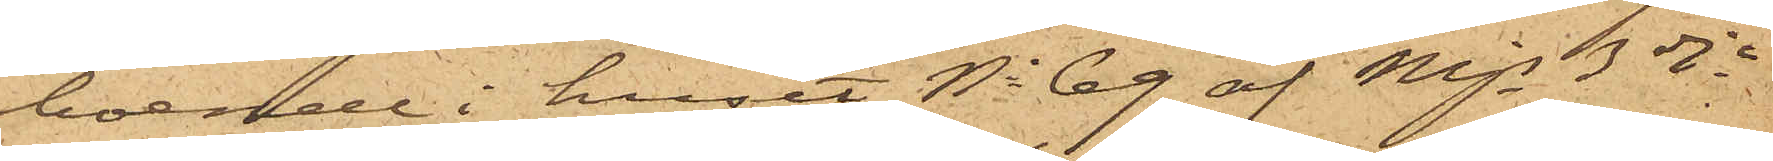boende i huset No 69 af Mjs 3dje
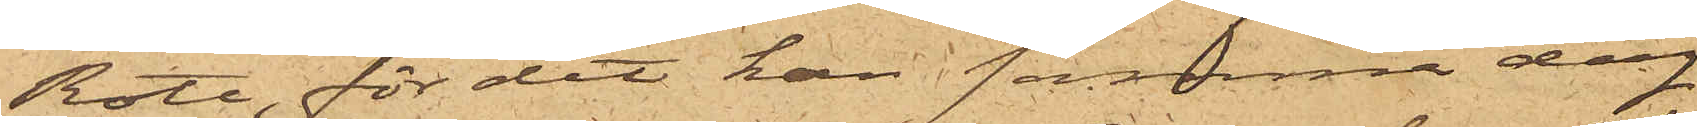Rote, för det han samma dag
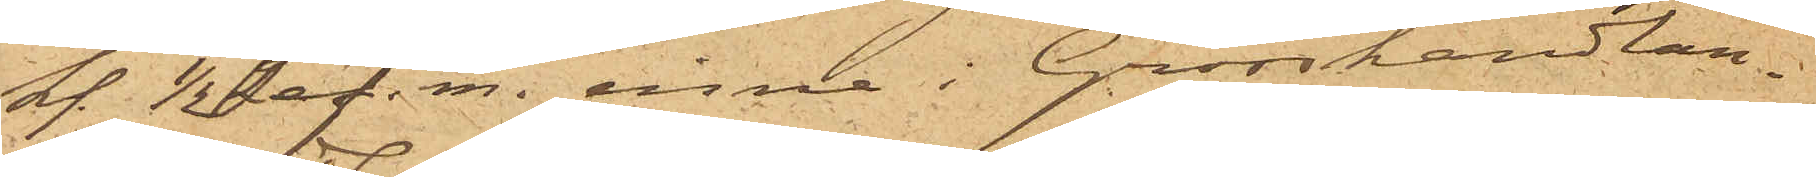kl. 1/2 2 ef. m. inne i Grosshandlan¬
